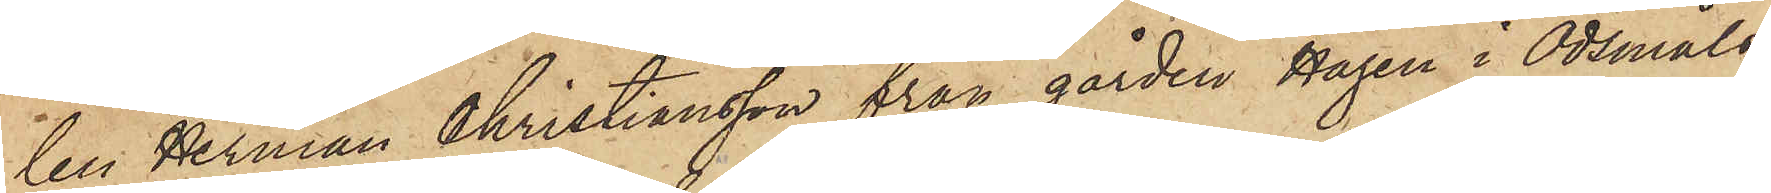len Herman Christiansson från gården Hagen i Ödsmåls
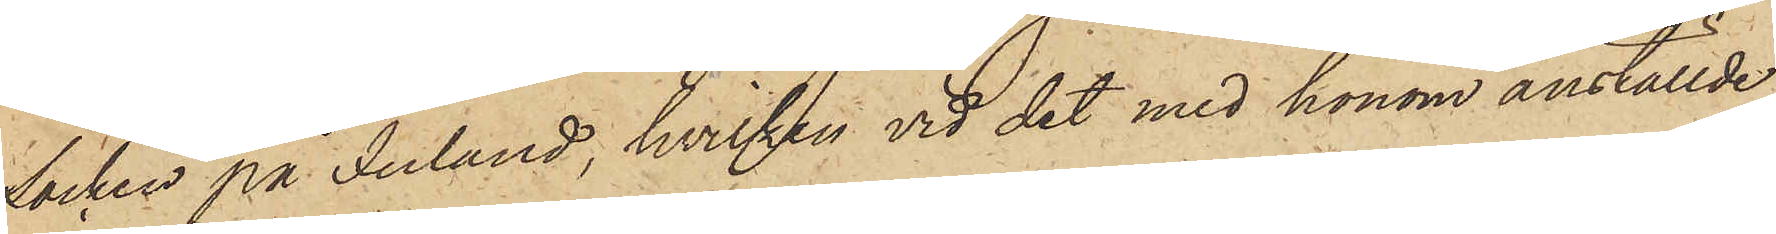Socken på Inland, hvilken vid det med honom anställde
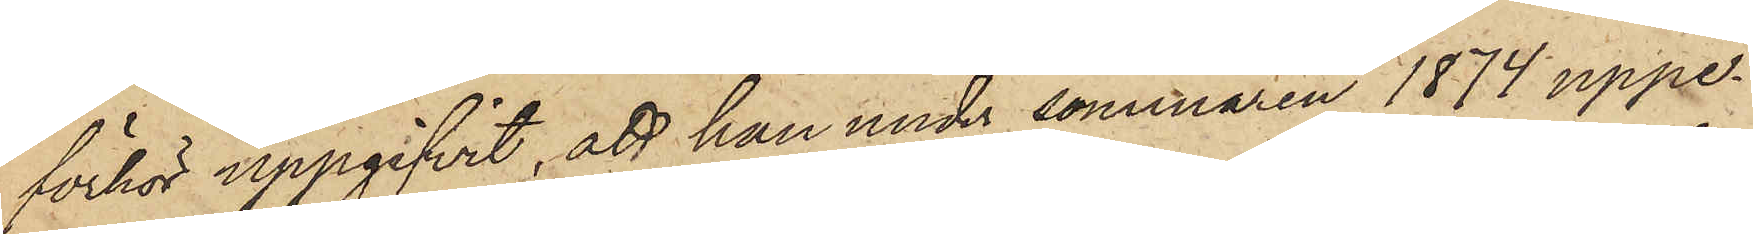förhör uppgifvit, att han under sommaren 1874 uppe¬
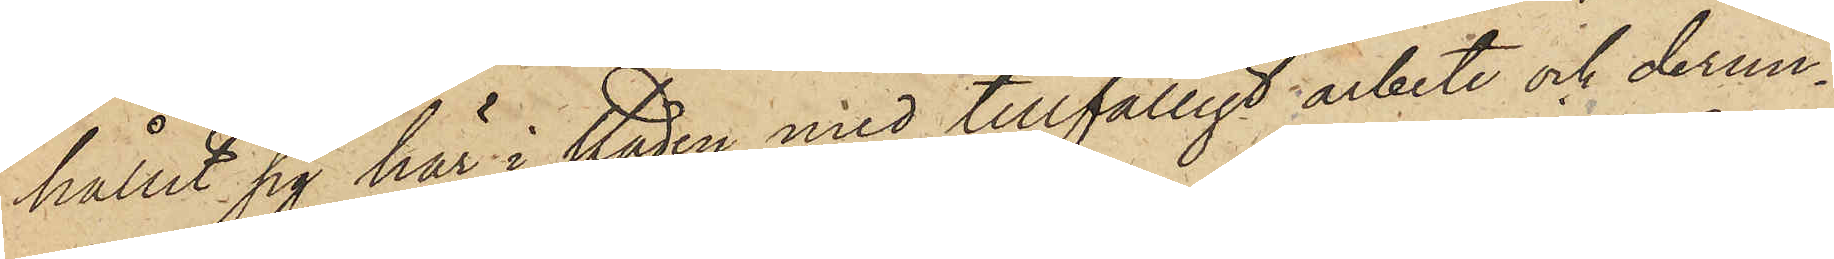hållit sig här i staden med tillfälligt arbete och derun¬
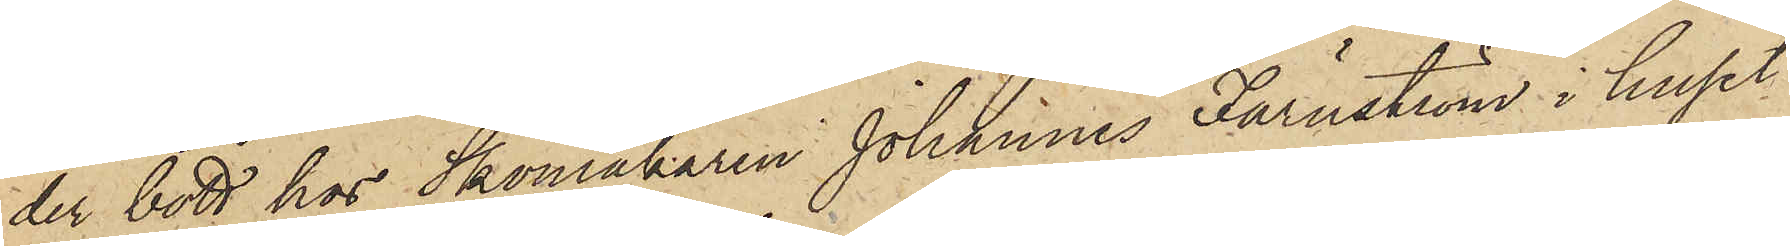der bott hos Skomakaren Johannes  Färnström i huset
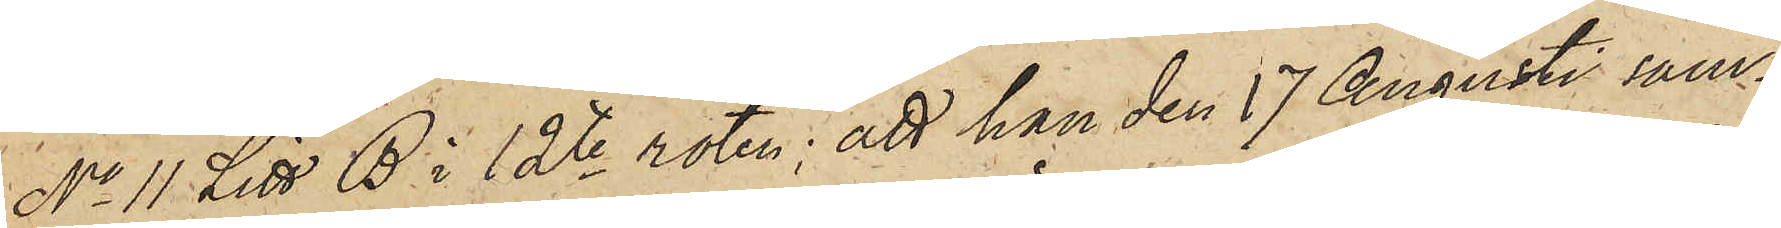No 11 Litt. B i 12te roten; att han den 17 Augusti sam¬
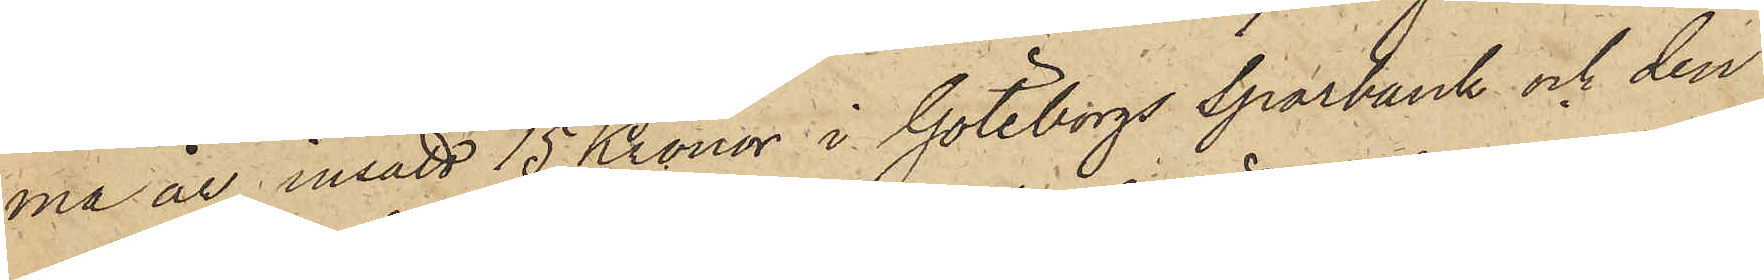ma år insatt 15 Kronor i Göteborgs Sparbank och den
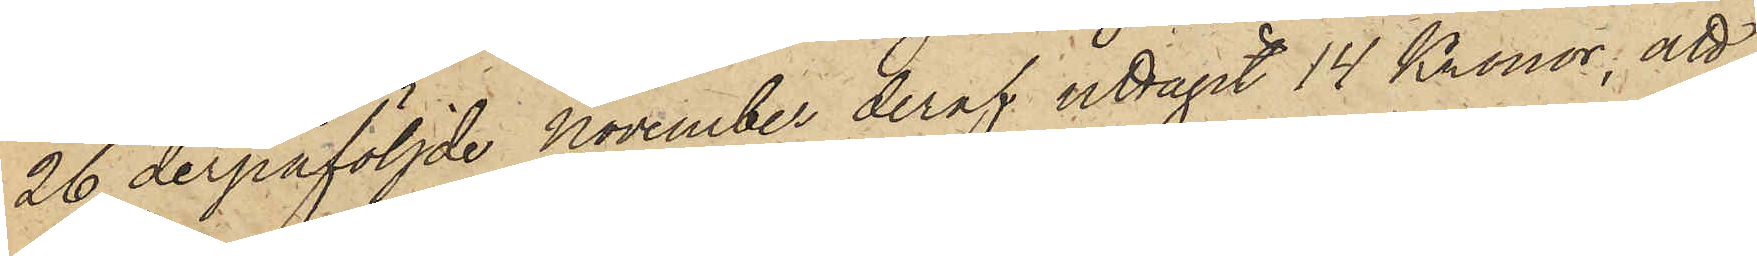26 derpåföljde November deraf uttagit 14 Kronor; att
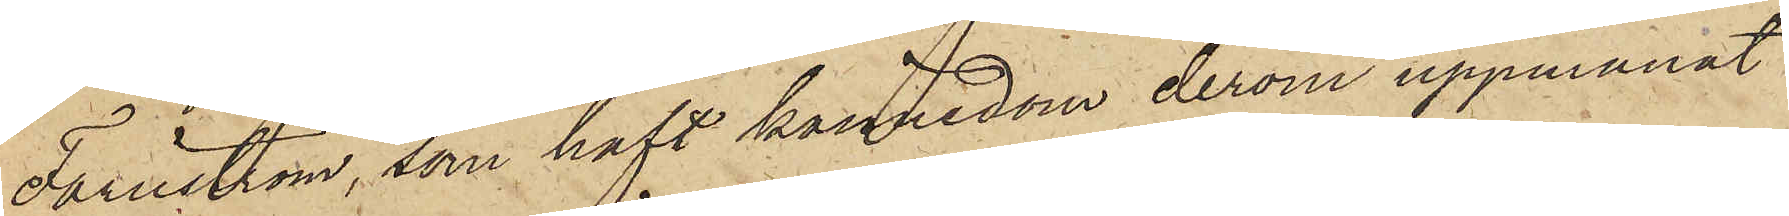Färnström, som haft kännedom derom uppmanat
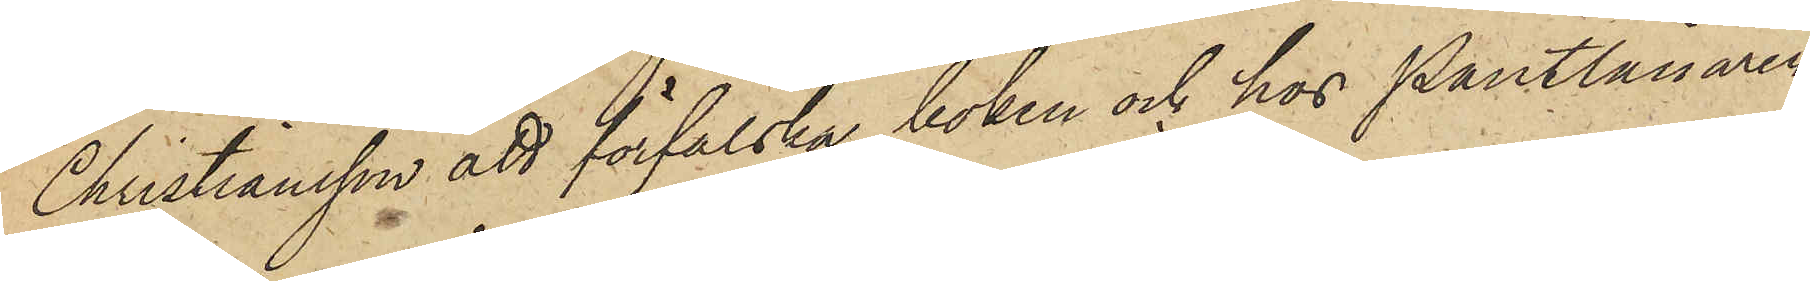Christiansson att förfalska boken och hos Pantlånaren
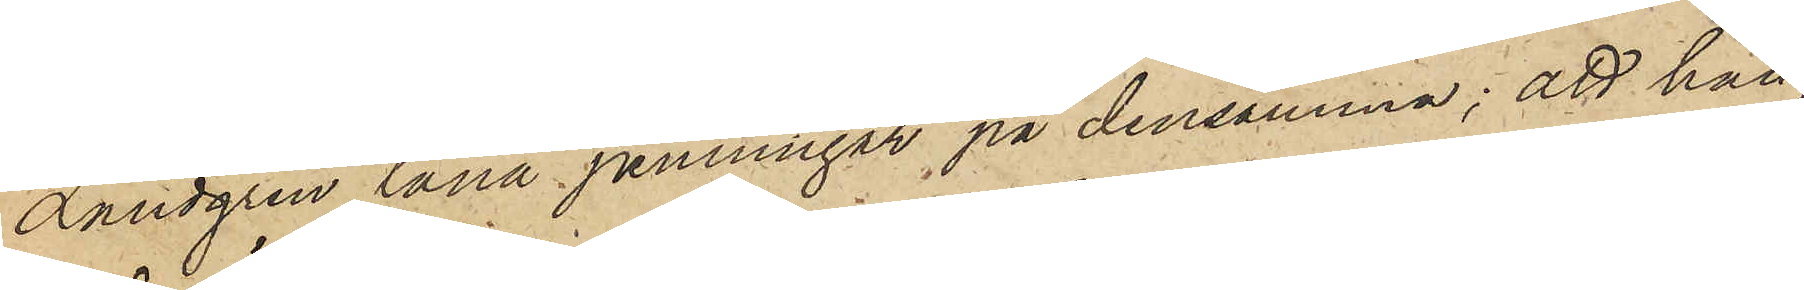Landgren låna penningar på densamma; att han
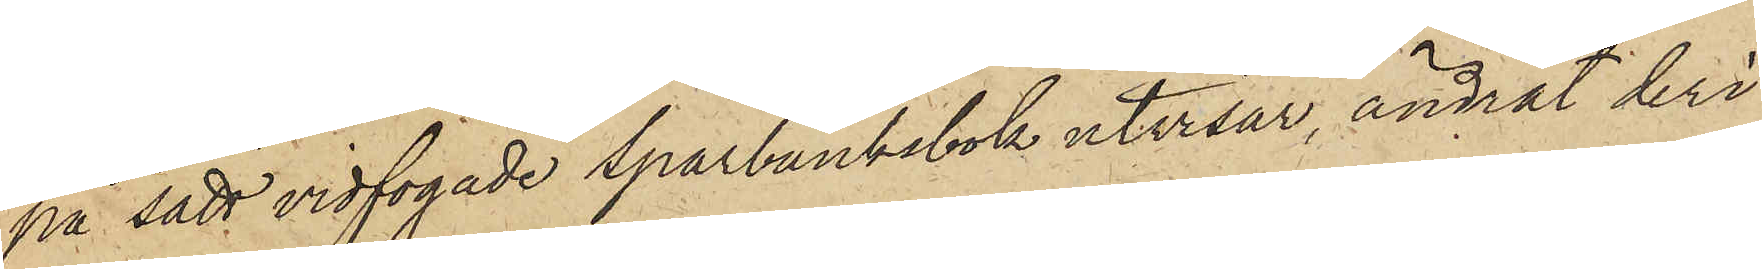på sätt vidfogade Sparbanksbok utvisar, ändrat deri
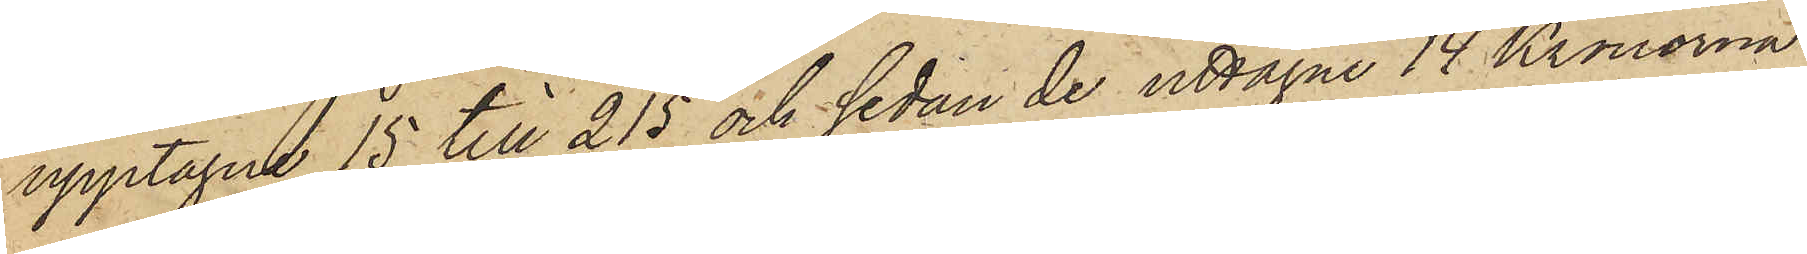upptagne 15 till 215 och sedan de uttagne 14 Kronorna
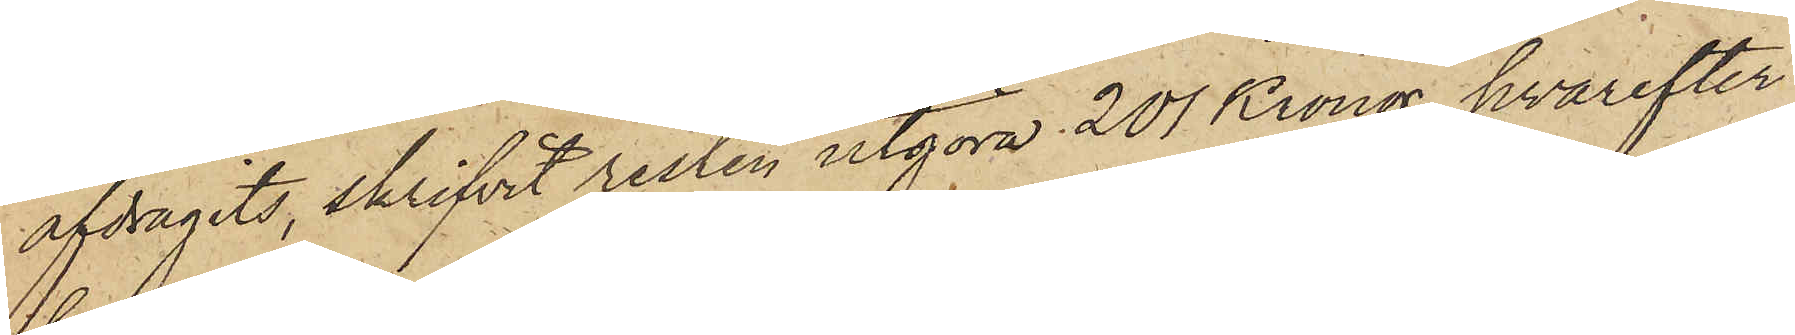afdragits, skrifvit resten utgöra 201 Kronor, hvarefter
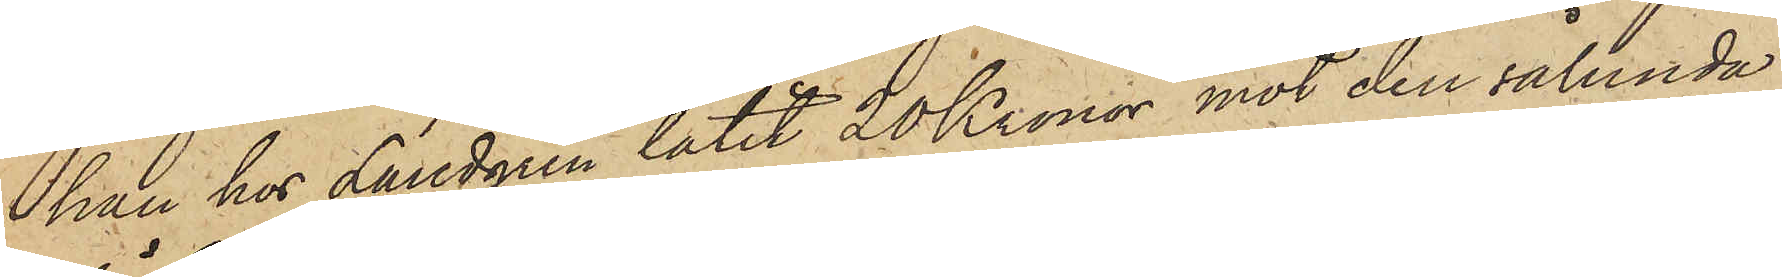han hos Landgren lånat 20 Kronor mot den sålunda
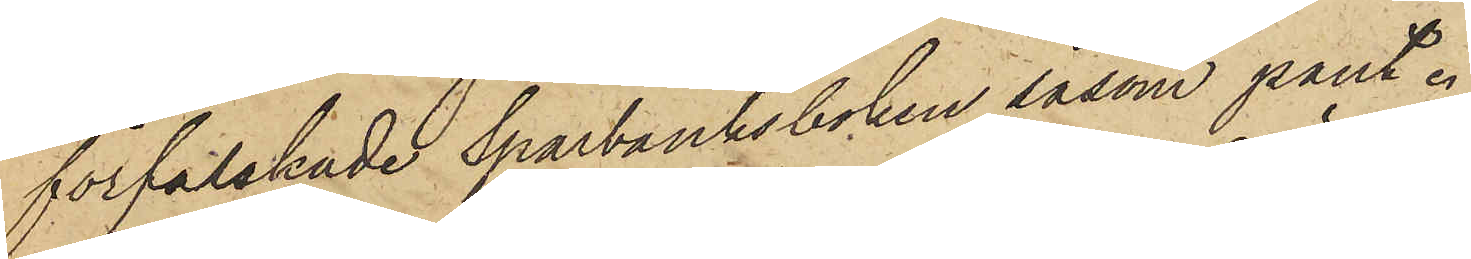förfalskade Sparbanksboken såsom pant.
